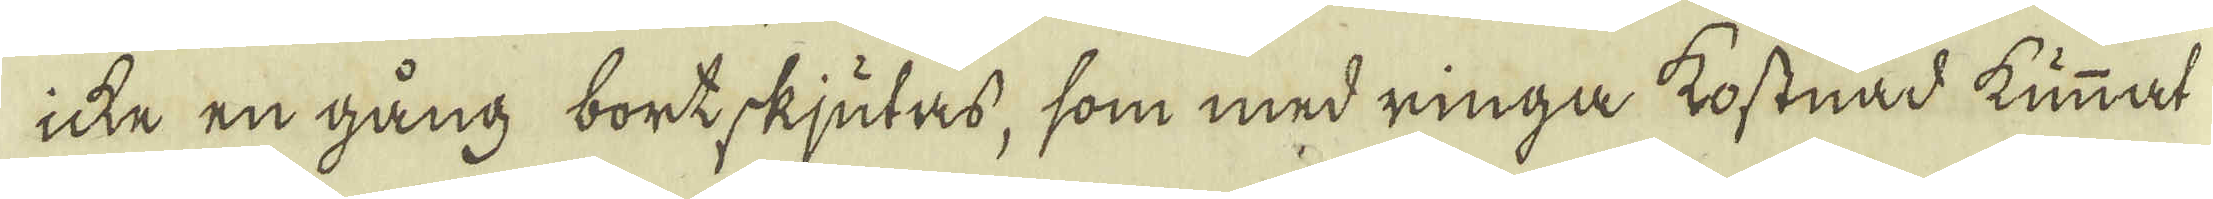icke en gång bortskjutas, som med ringa kostnad kunnat
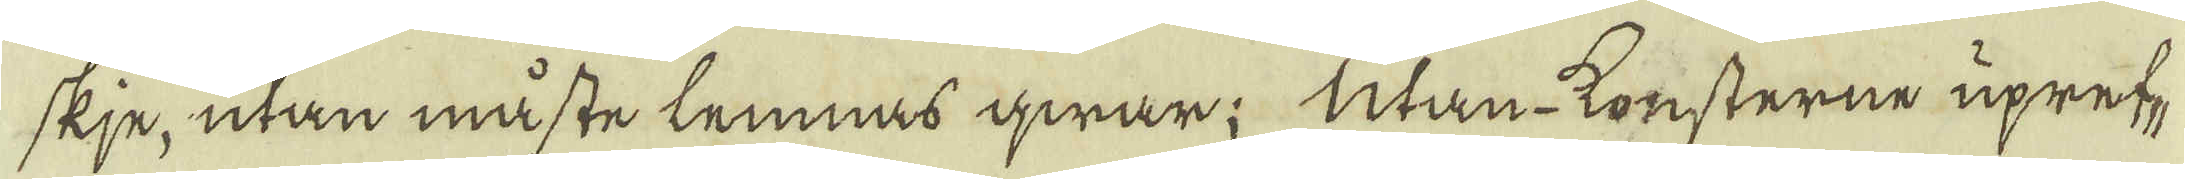skje, utan måste lemnas qwar; Utan-konsterne upref-
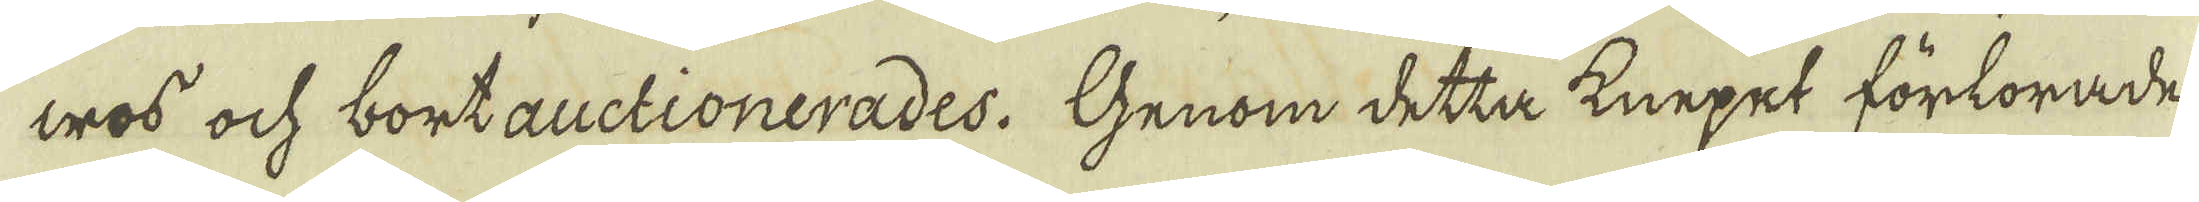wos och bortauctionerades. Genom detta knepet förkorade
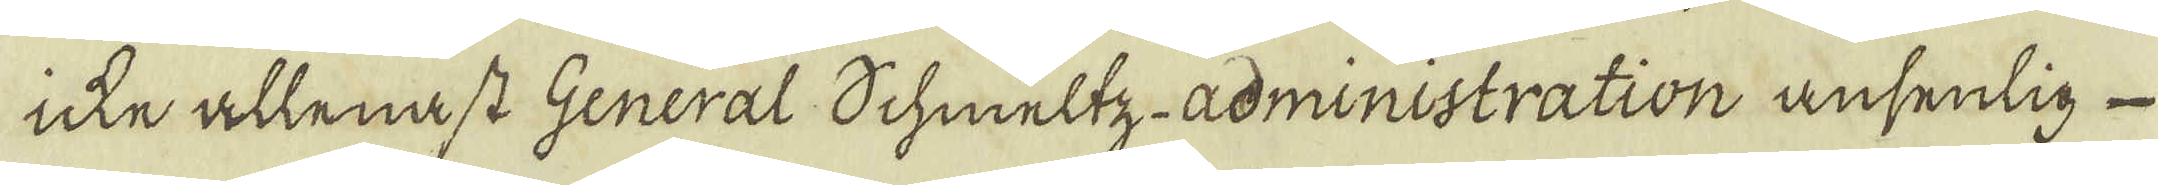icke allenast General Schmeltz-administration ansenlig
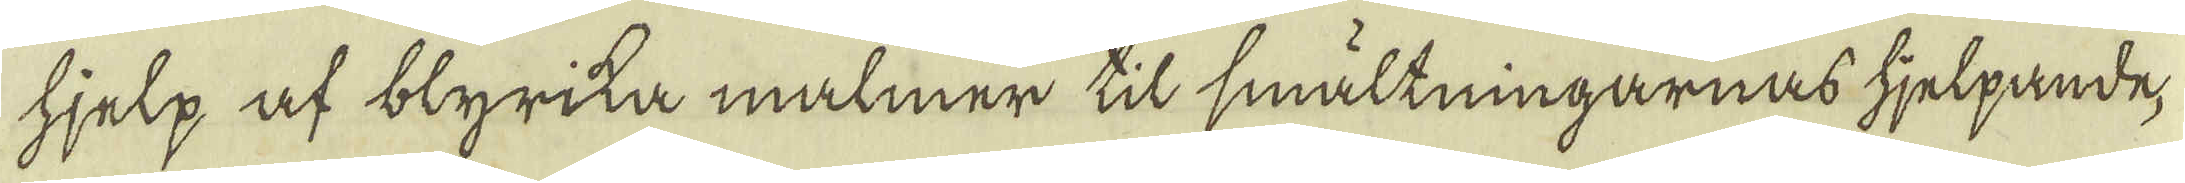hjelp af blyrika malmer til smältningarnas hjelpande,
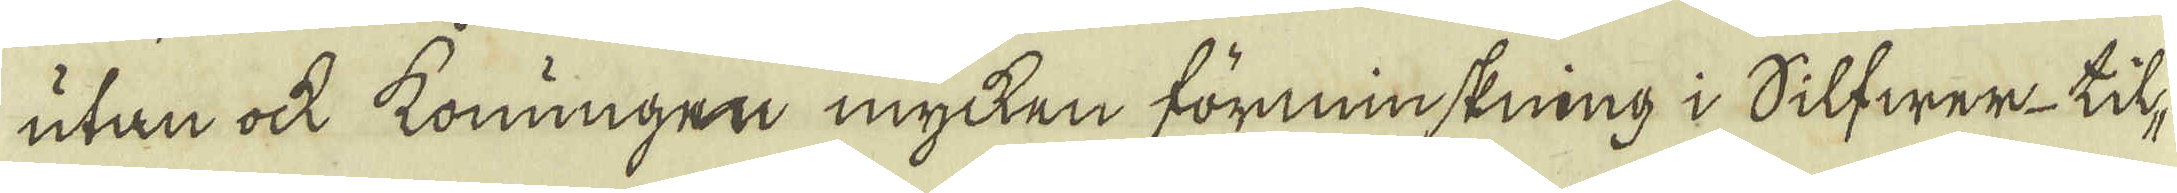utan ock konungen mycken förminskning i Silfwer-til-
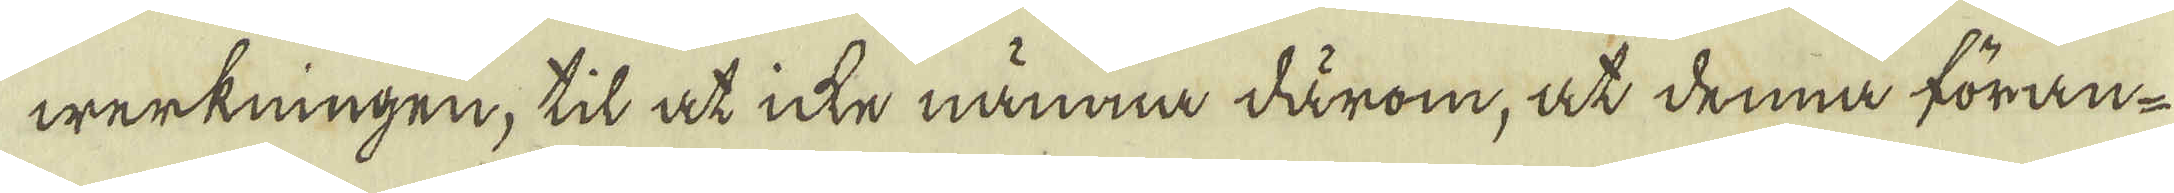werkningen, til at icke nämna därom, at denna föran-
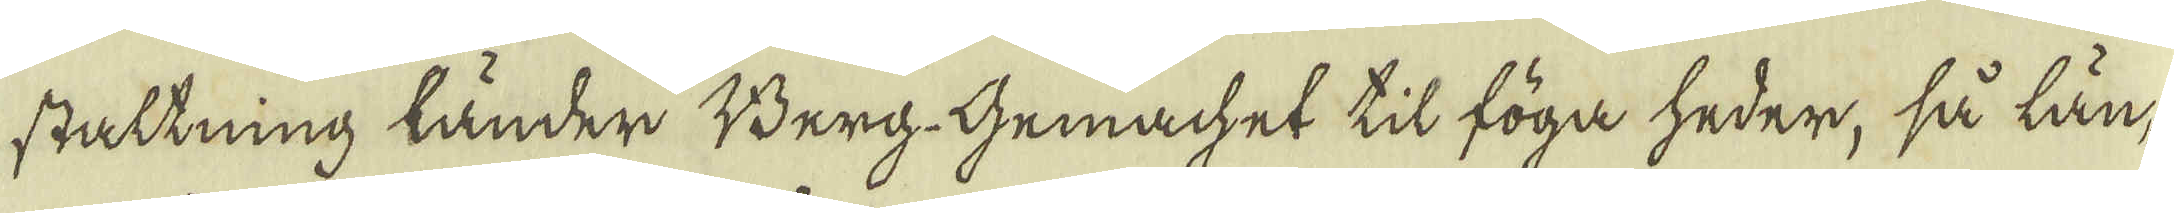staltning länder Berg-Gemachet til föga heder, så län-
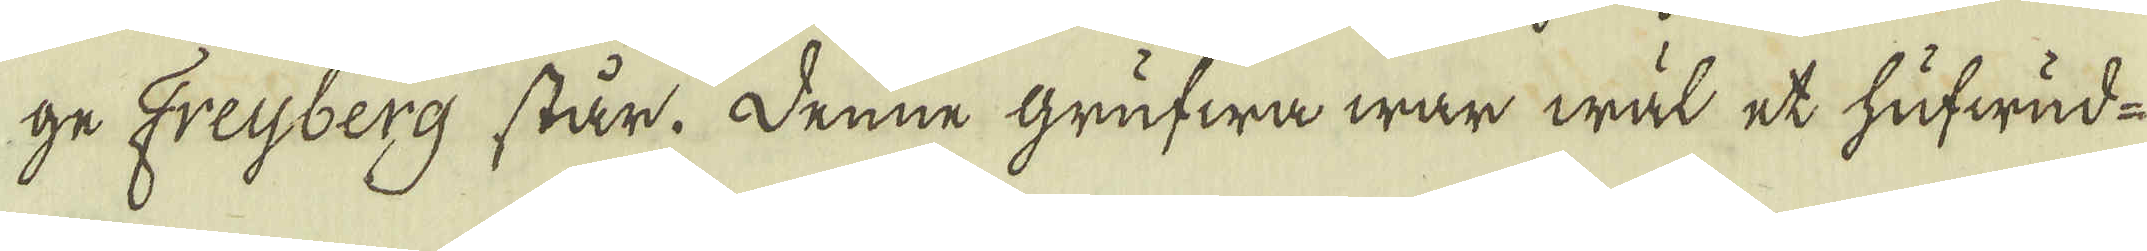ge Freijberg står. Denne Grufwa war wäl et hufwud-
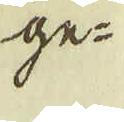ge-
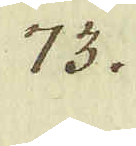73.
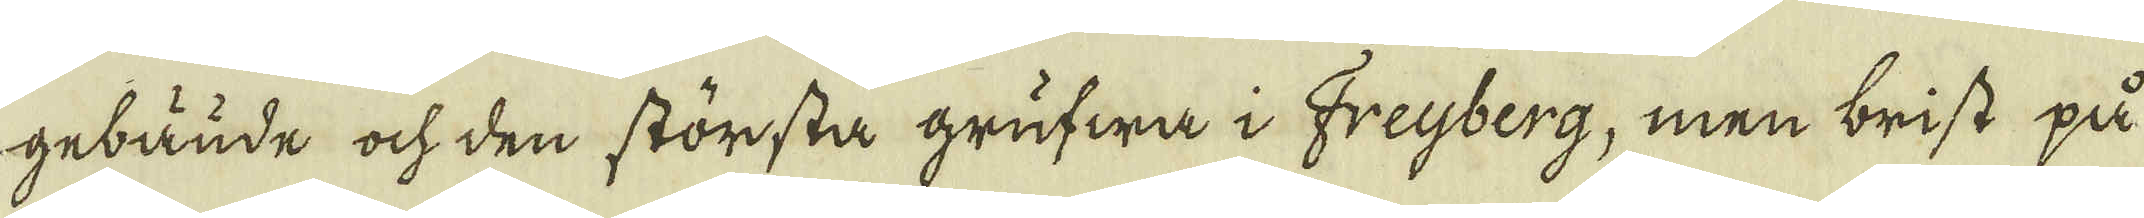gebäude och den största grufwa i Freijberg, men brist på
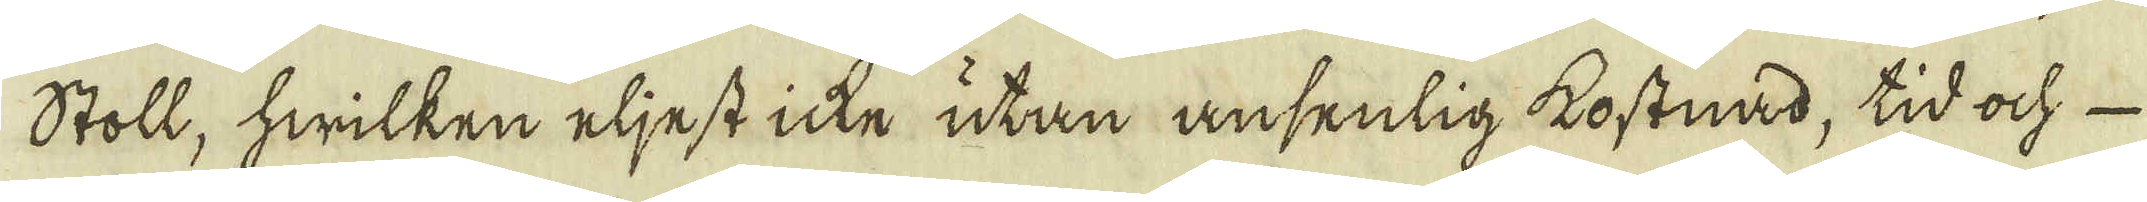stoll, hwilken eljest icke utan ansenlig kostnad, tid och 
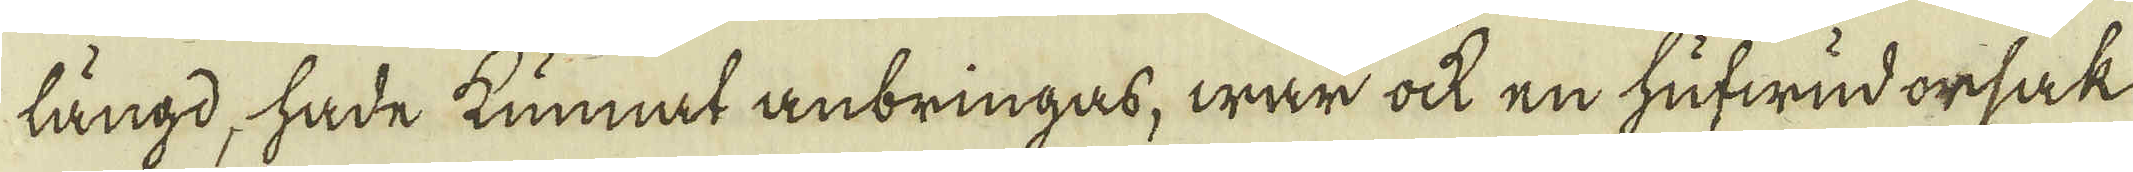längd, hade kunnat anbringas, war ock en hufwud orsak
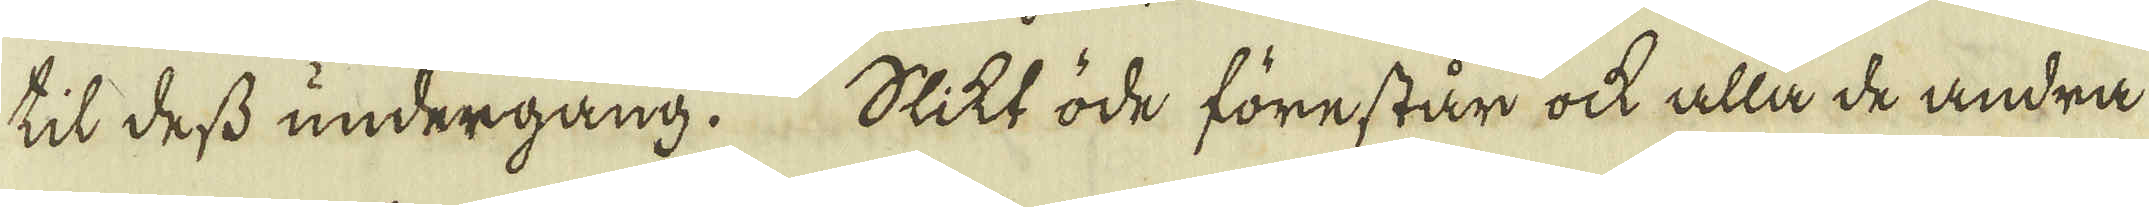til dess undergång. Slikt öde förestår ock alla de andra
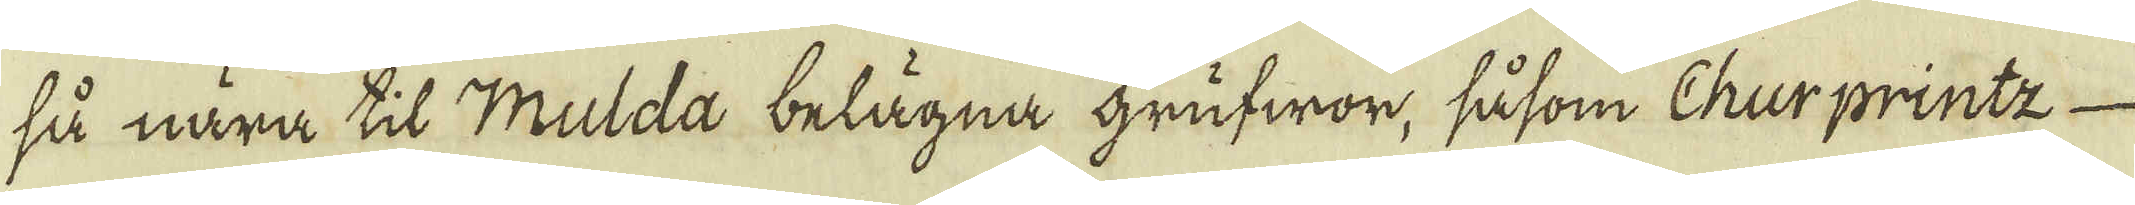så nära til Mulda belägna grufwor, såsom Churprintz
